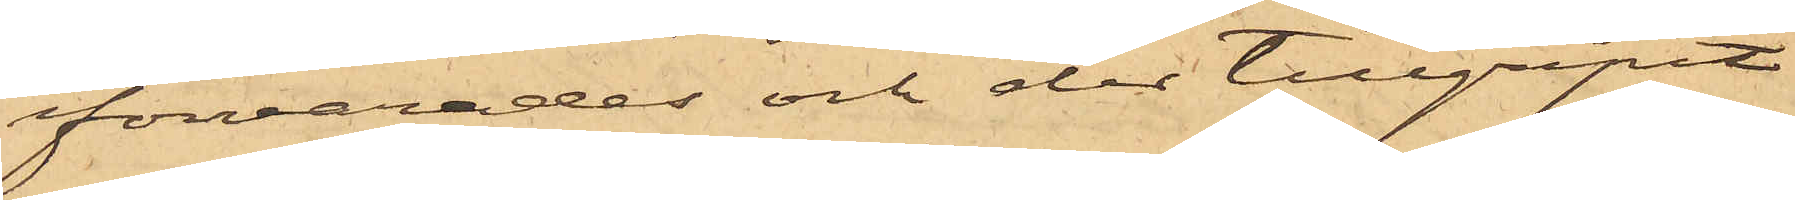förvarades och der tillgripit
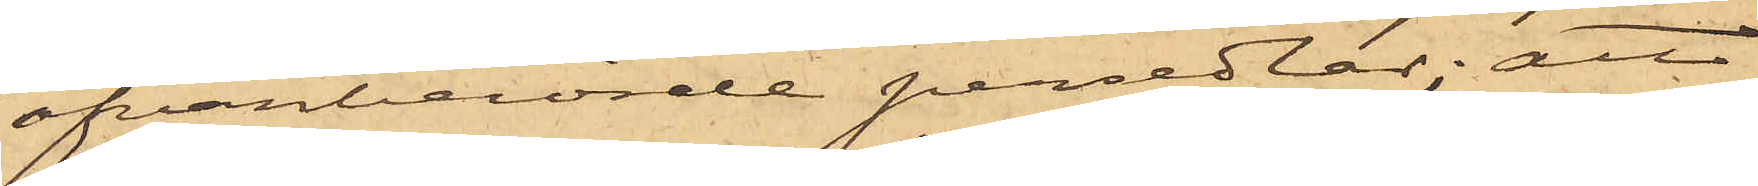ofvanberörde persedlar; att
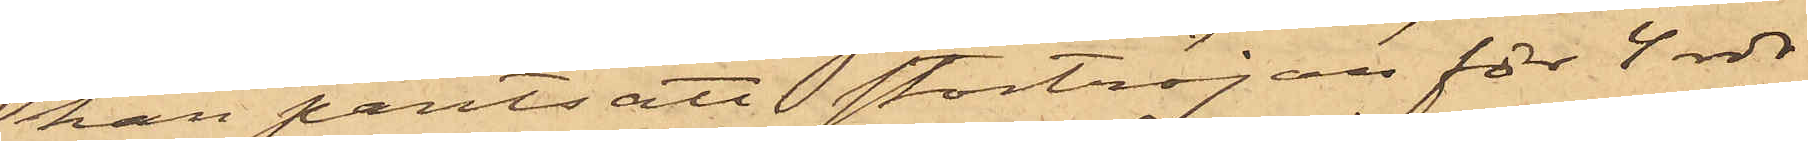han pantsatt stortröjan för 4 rdr
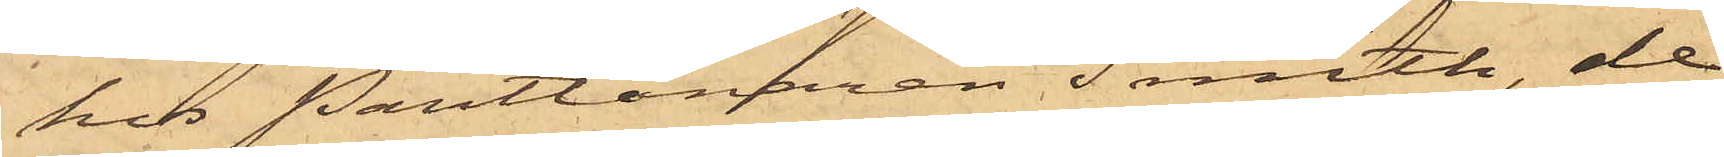hos Pantlånaren Smith, de
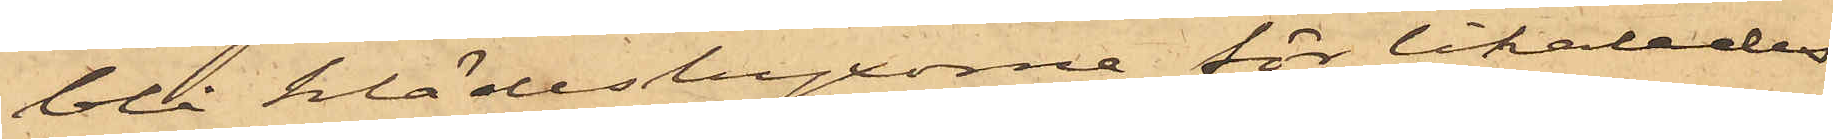blå klädesbyxorna för likaledes
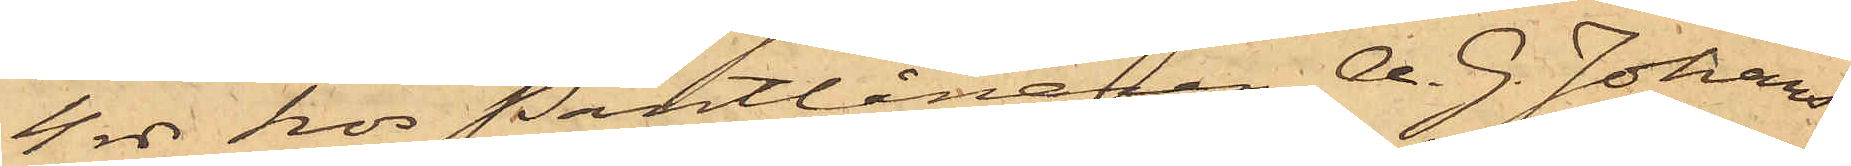4 rdr hos Pantlånaren A. G. Johans¬
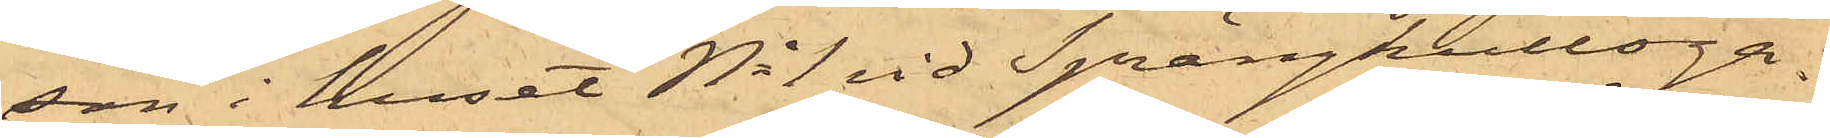son i huset No 1 vid Sprängkullsga¬
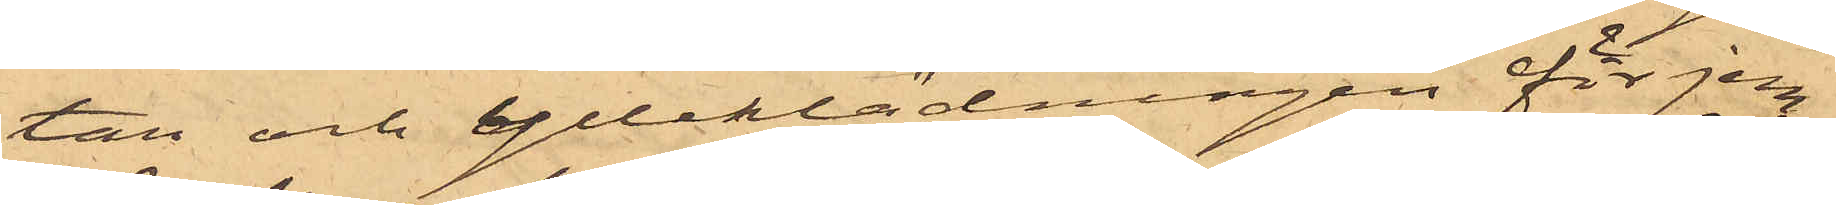tan och ylleklädningen för jem¬
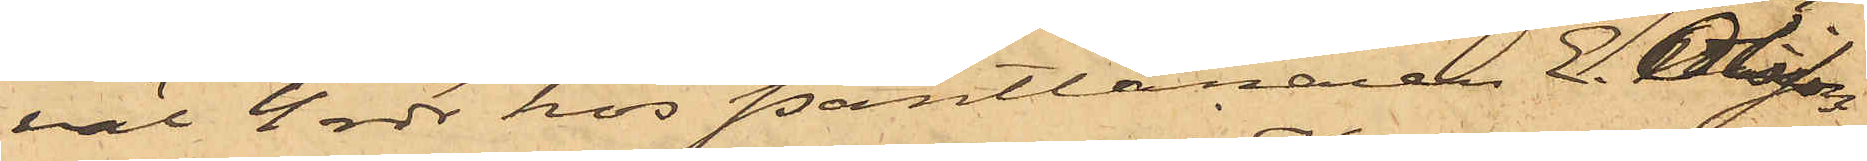väl 4 rdr hos Pantlånaren E. Olsson
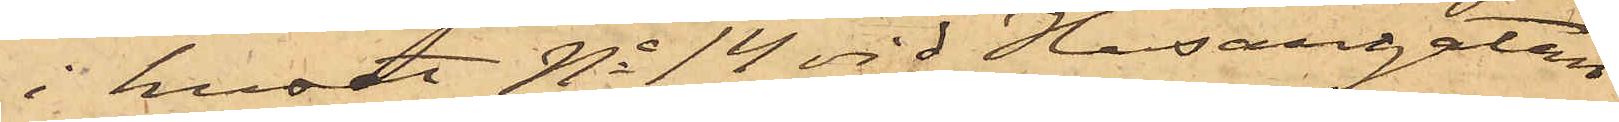i huset No 14 vid Husargatan
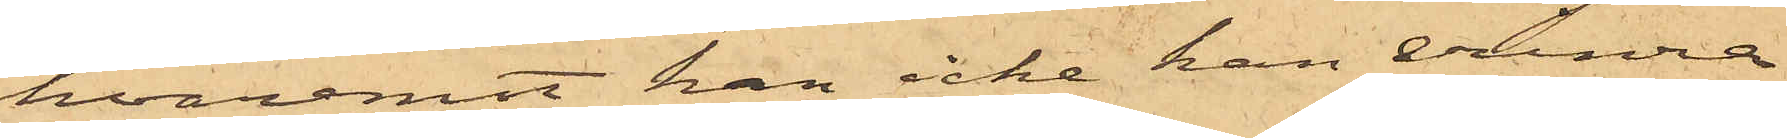hvaremot han icke kan erinra
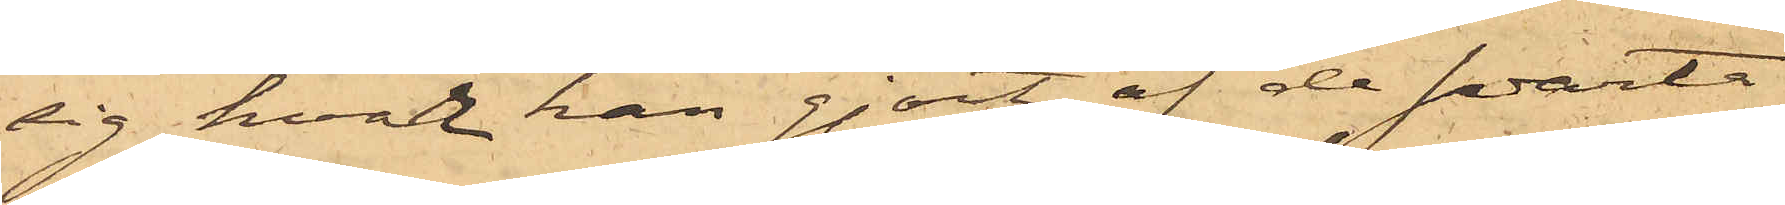sig hvar han gjort af de svarta
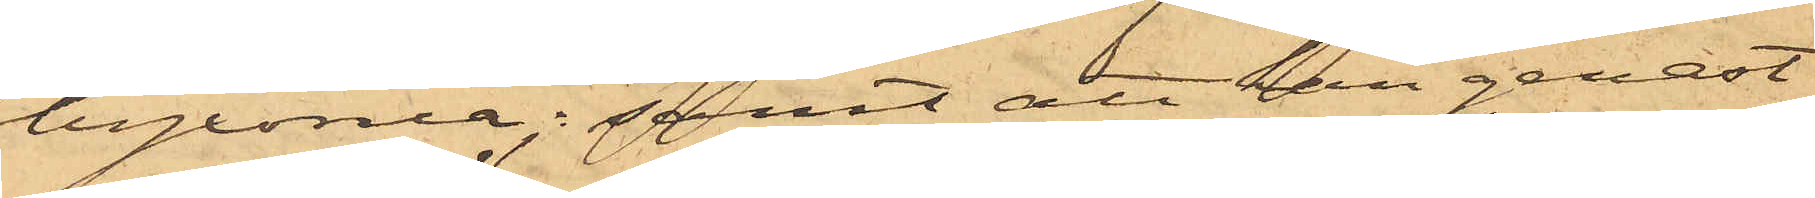byxorna; samt att han genast
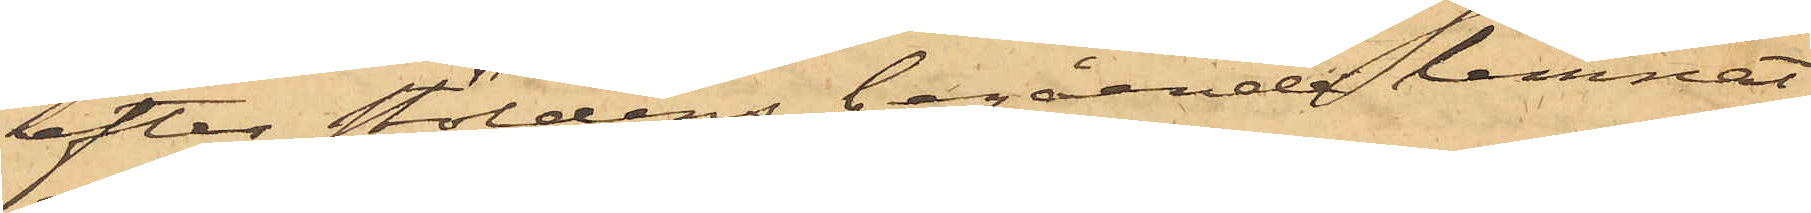efter stöldens begående lemnat
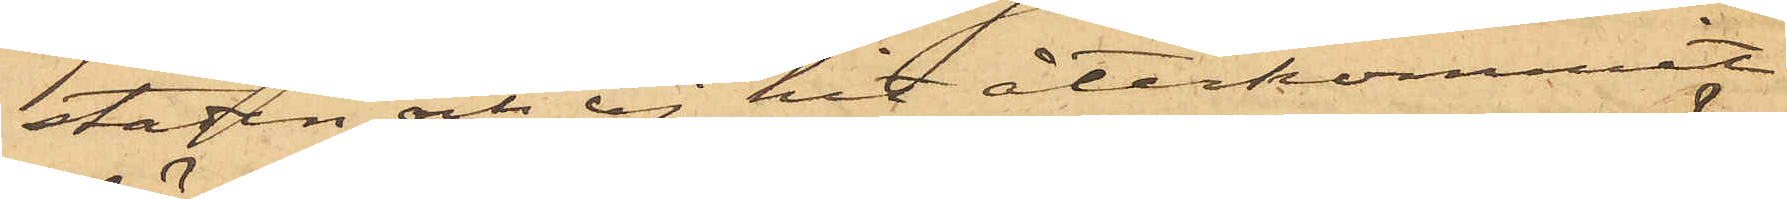staden och ej hit återkommit
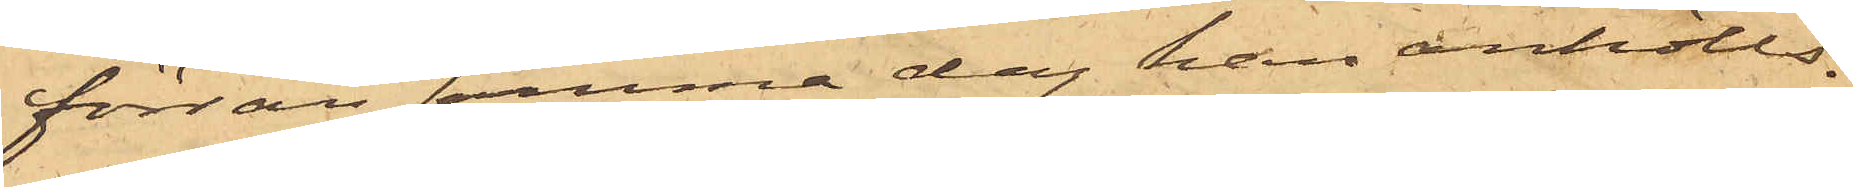förrän samma dag han anhölls.
